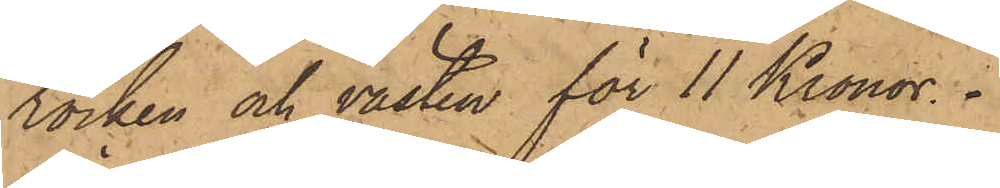rocken och västen för 11 Kronor.
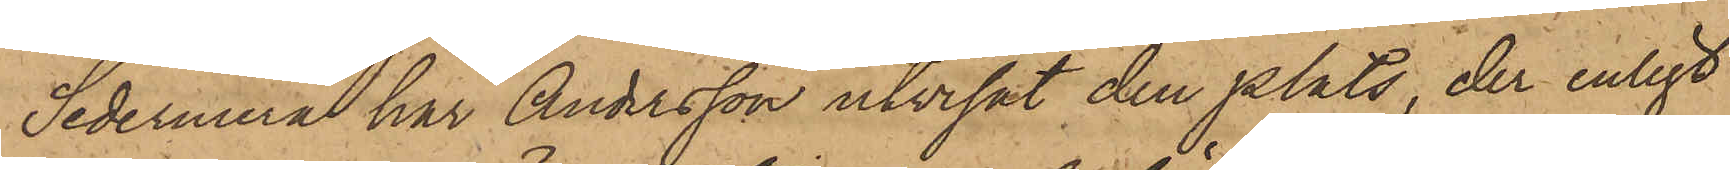Sedermera har Andersson utvisat den plats, der enligt
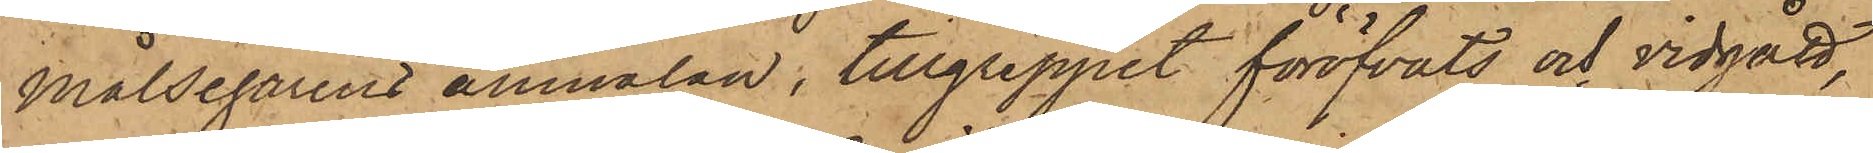Målsegarens anmälan, tillgreppet föröfvats och vidgått,
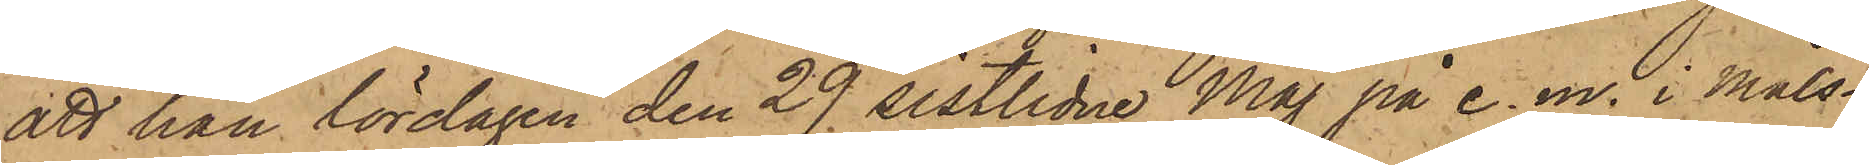att han lördagen den 29 sistlidne Maj på e. m. i Måls¬
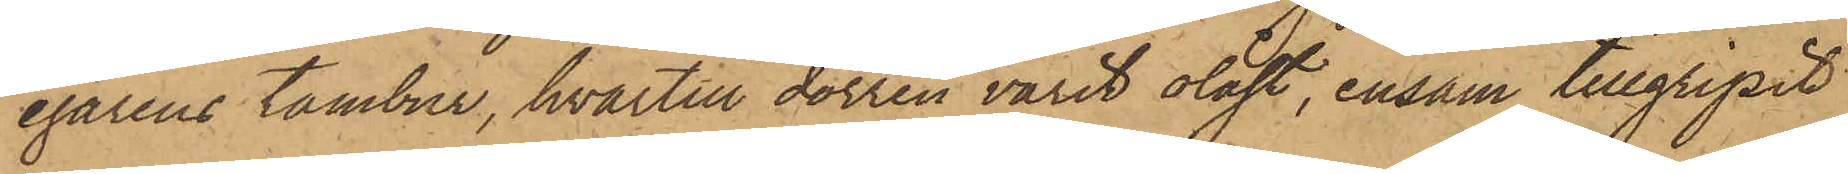egarens tambur, hvartill dörren varit olåst, ensam tillgripit
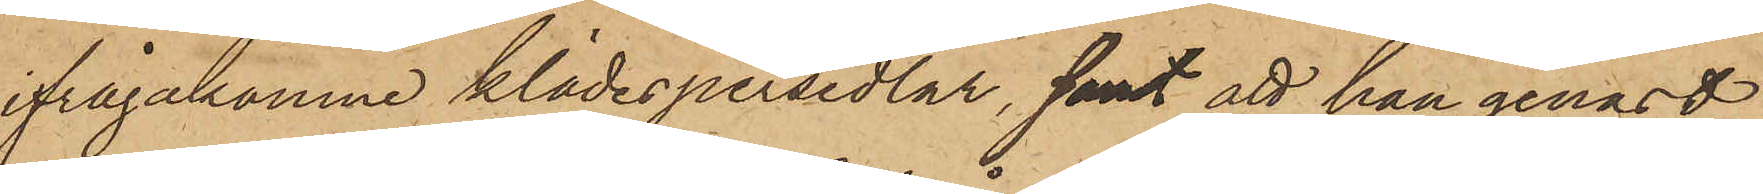ifrågakomne klädespersedlar, samt att han genast
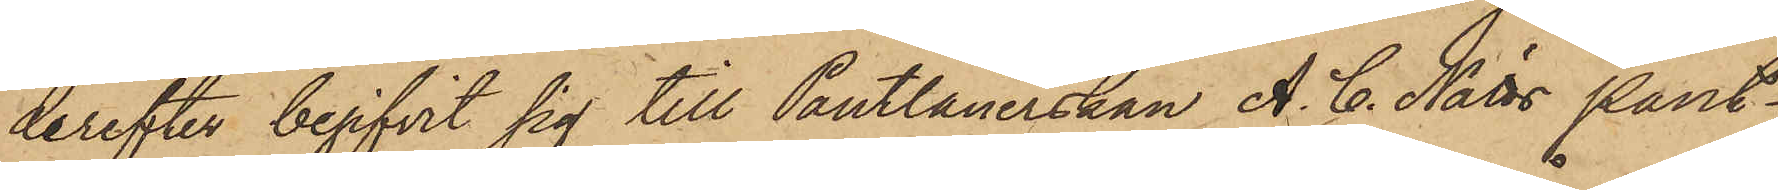derefter begifvit sig till Pantlånerskan A. C. Nätts Pant¬
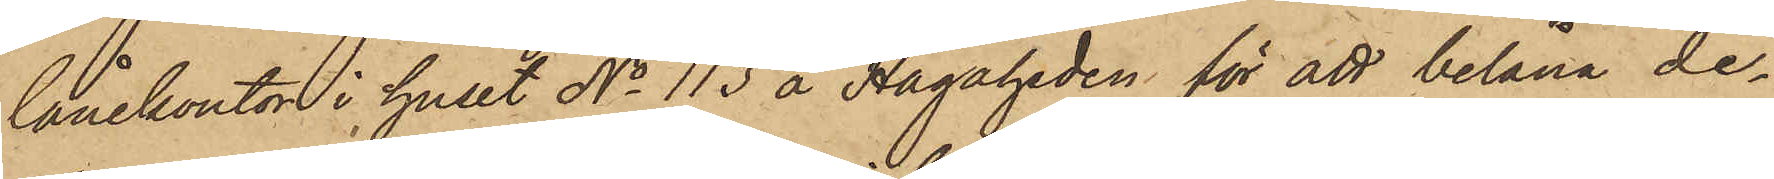lånekontor i huset No 113 å Hagaheden för att belåna de¬
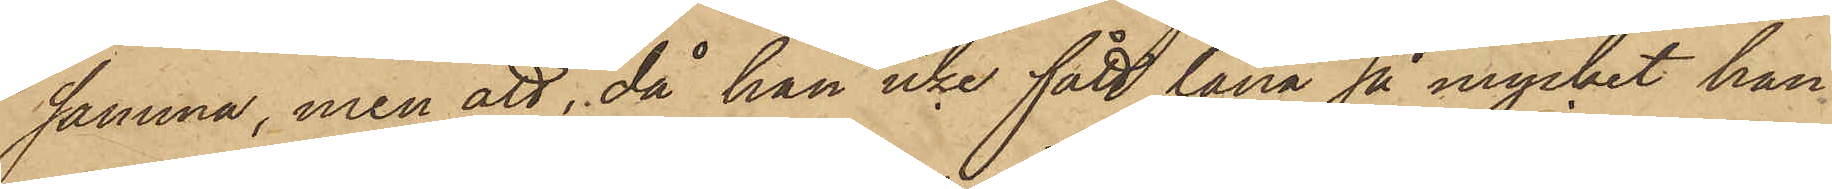samma, men att, då han icke fått låna så mycket han
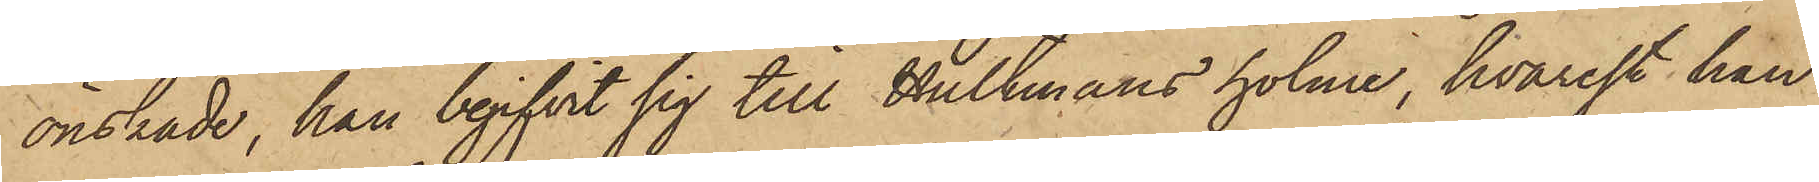önskade, han begifvit sig till Hultmans holme, hvarest han
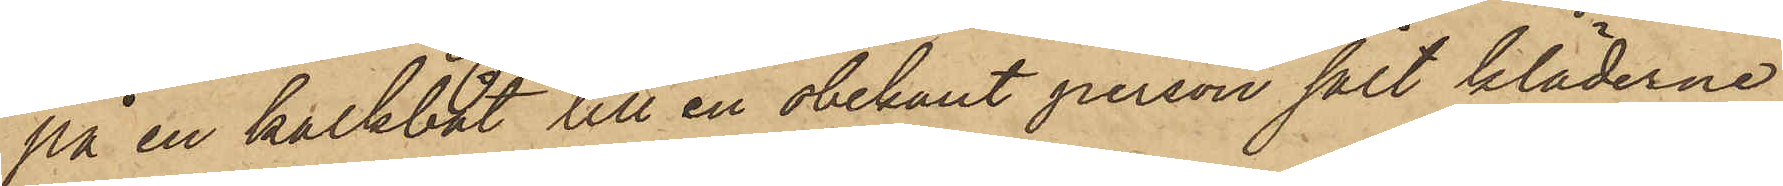på en kalkbåt till en obekant person sålt kläderne
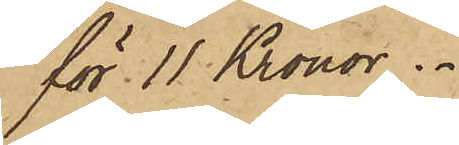för 11 Kronor.
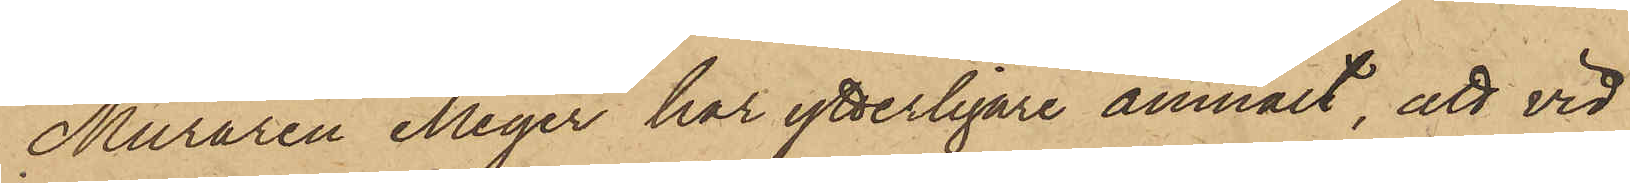Muraren Meyer har ytterligare anmält, att vid
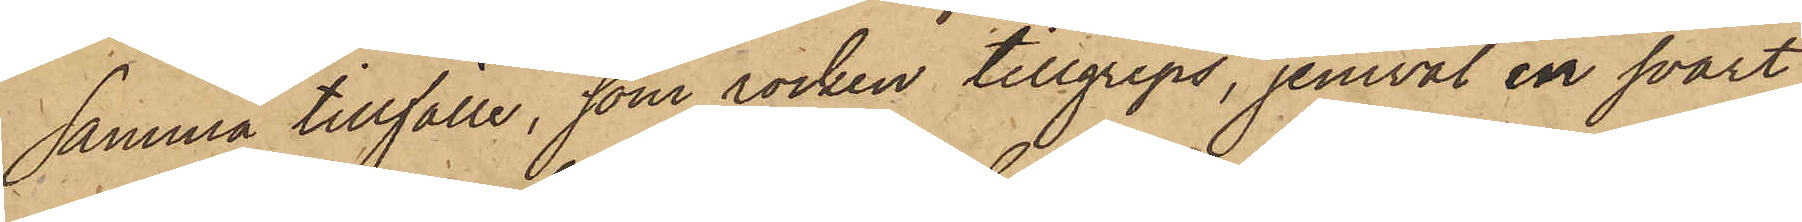samma tillfälle, som rocken tillgreps, jemväl en svart
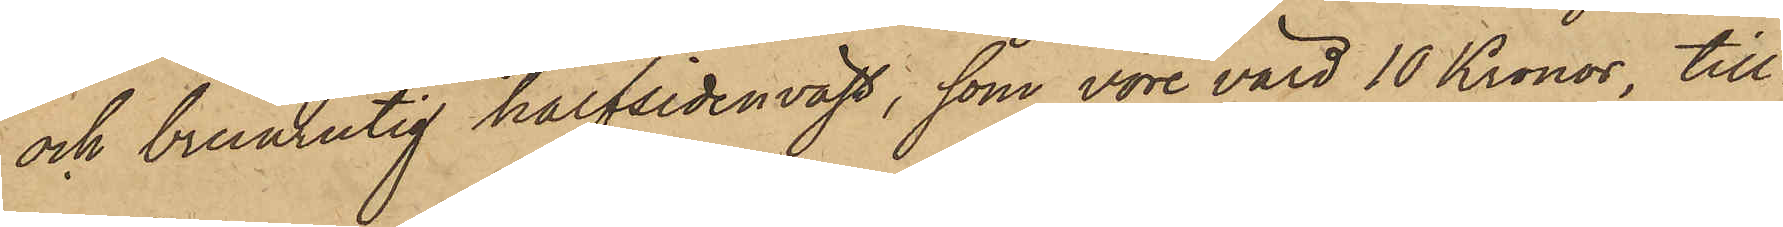och brunrutig halfsidenväst, som vore värd 10 Kronor, till¬
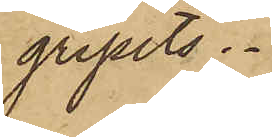gripits.
